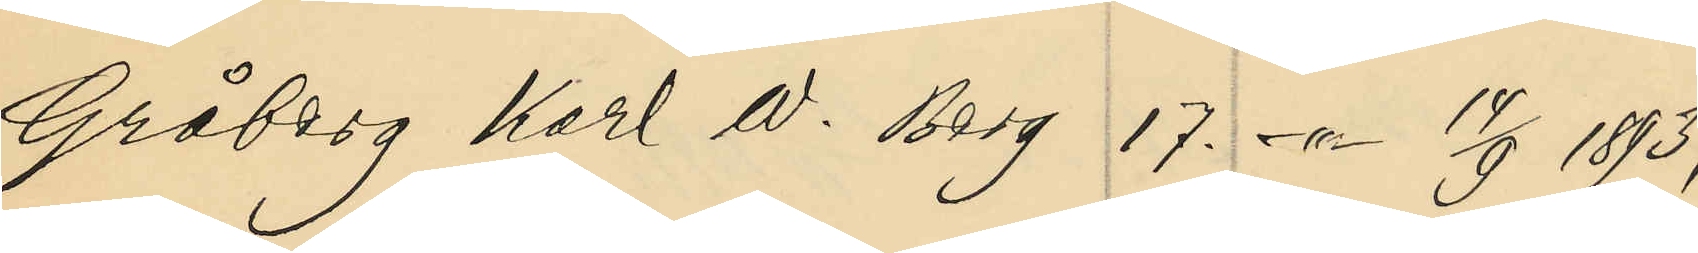Gråberg Karl W. Berg 17. -"- 14/9 1893;
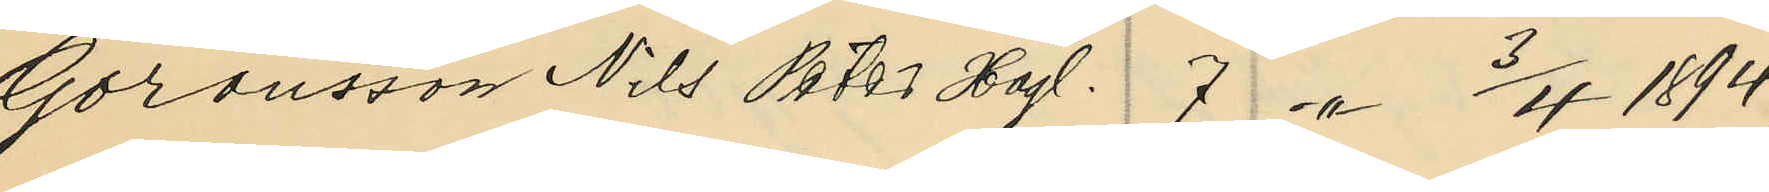Göransson Nils Pter Högl. 7. -"- 3/4 1894;
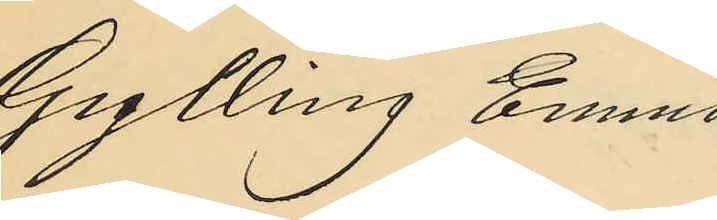Gylling Emna
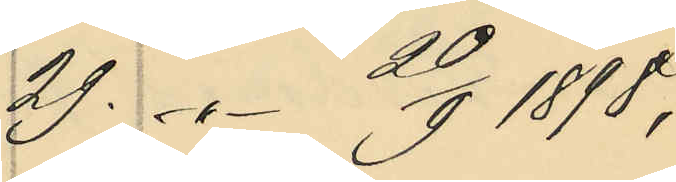29. -"- 20/9 1898;
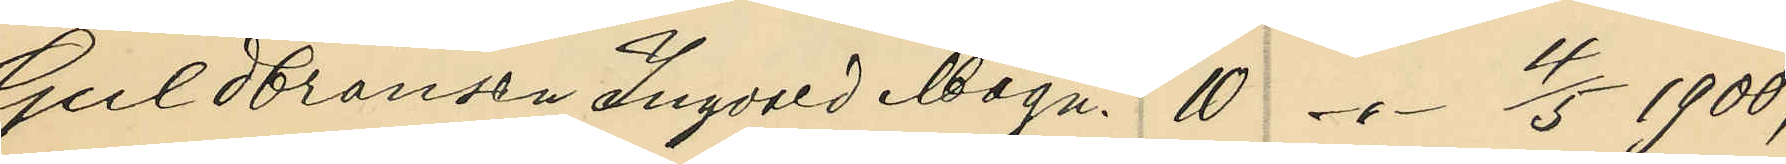Guldbrandsen Ingvald Magn. 10. -"- 4/5 1900;
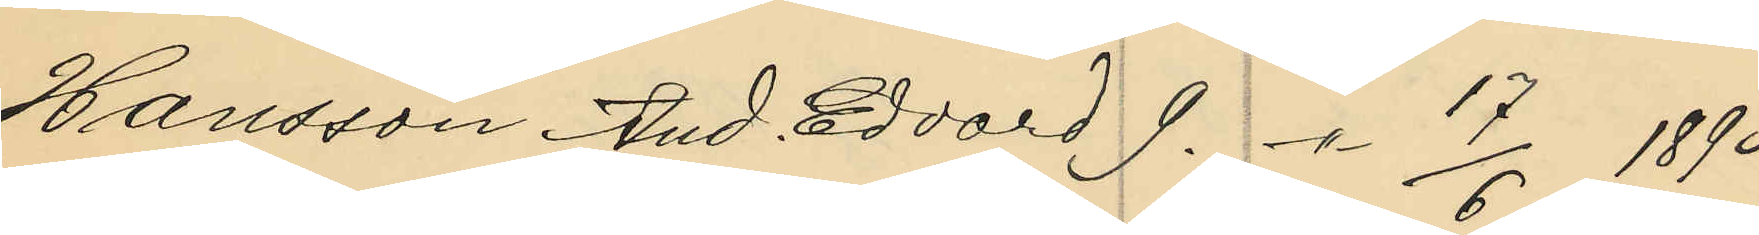Hansson And. Edvard 9. -"- 17/6 1893;
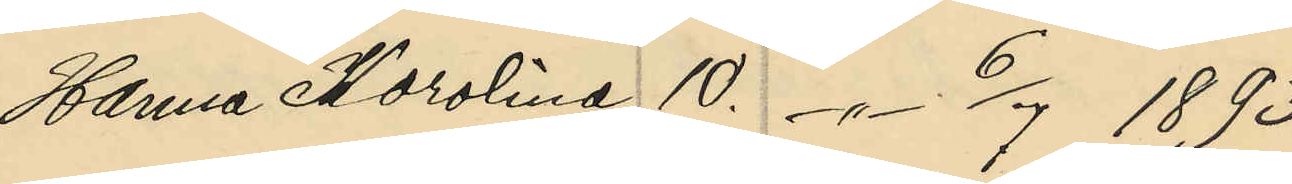Hanna Karolina 10. -"- 6/7 1893;
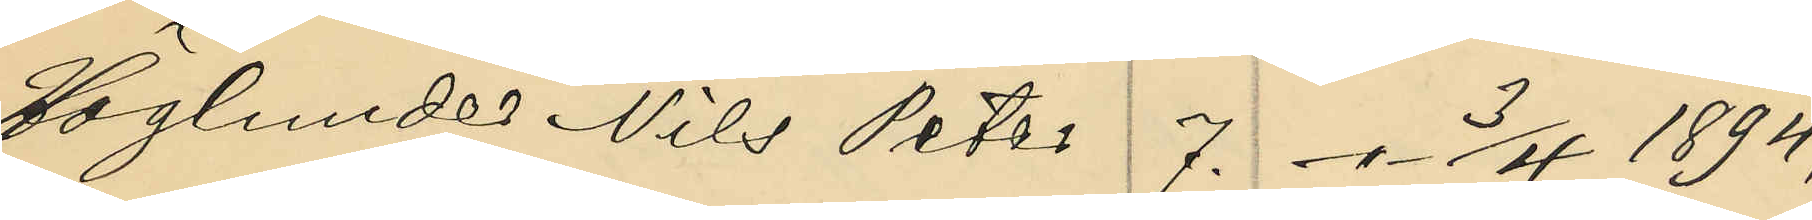Höglunde Nils Peter 7. -"- 3/4 1894;
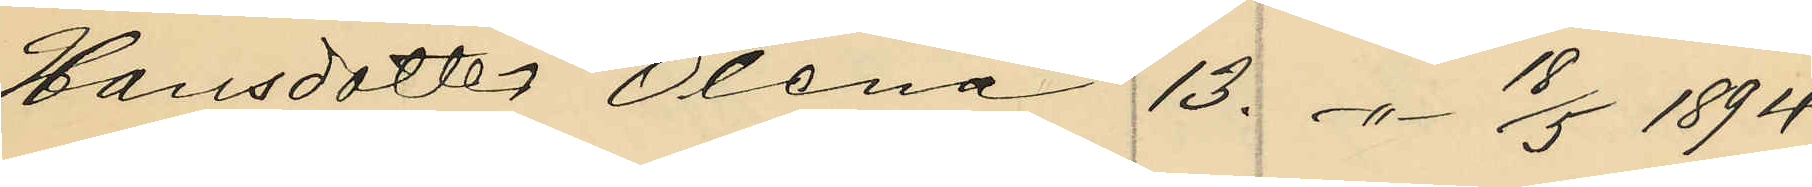Hansdotte Olena 13. -"- 18/5 1894;
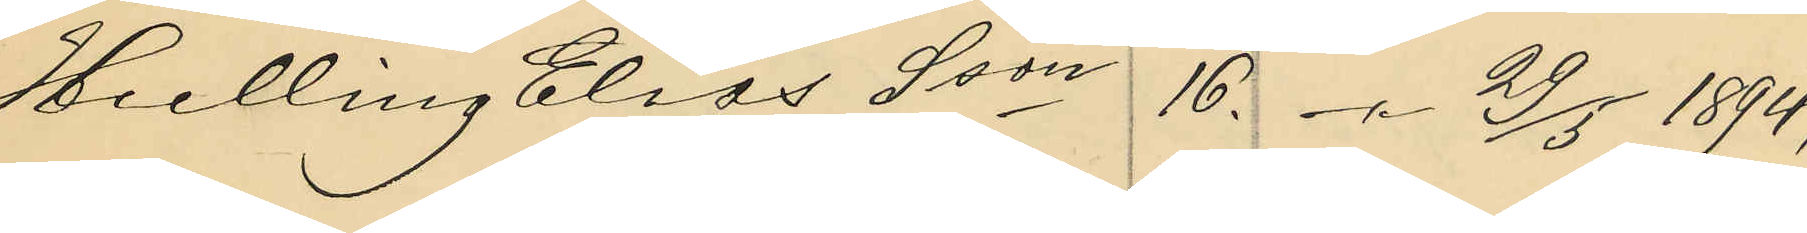Hulling Elias Sson 16. -"- 29/5 1894;
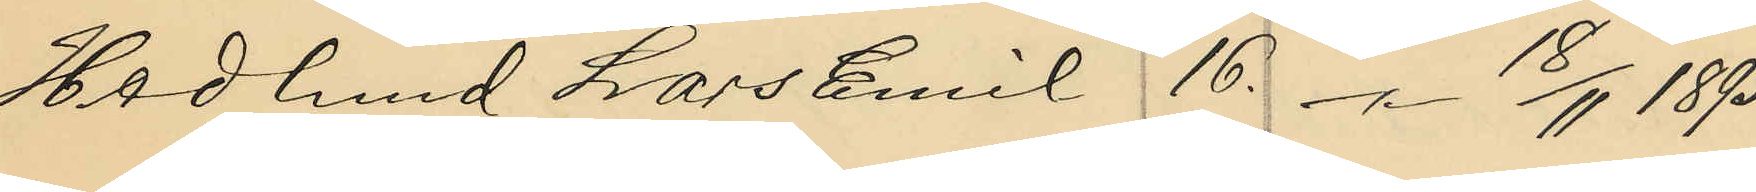Hedlund Lars Emil 16. -"- 18/11 1895;
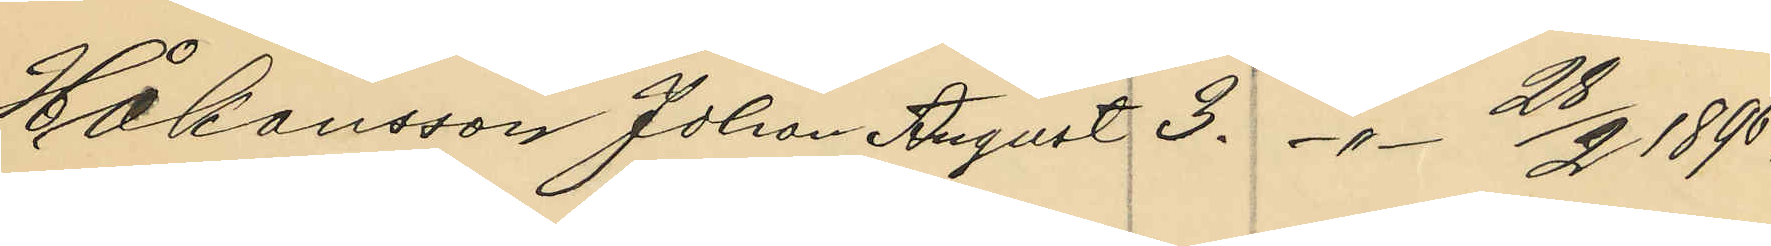Håkansson Johan August 3. -"- 28/2 1896;
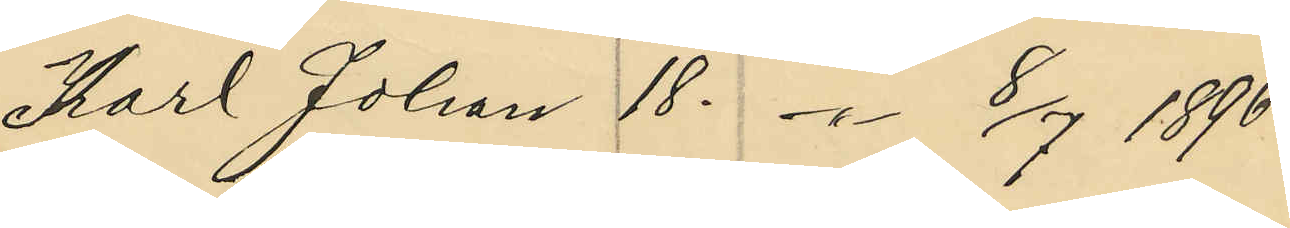Karl Johan 18. -"- 8/7 1896;
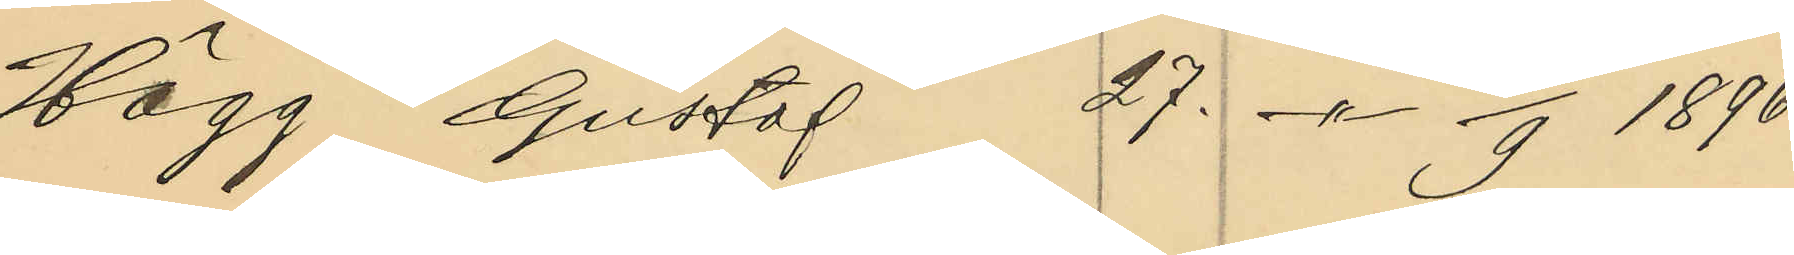Hägg Gustaf 27. -"- 15/9 1896;
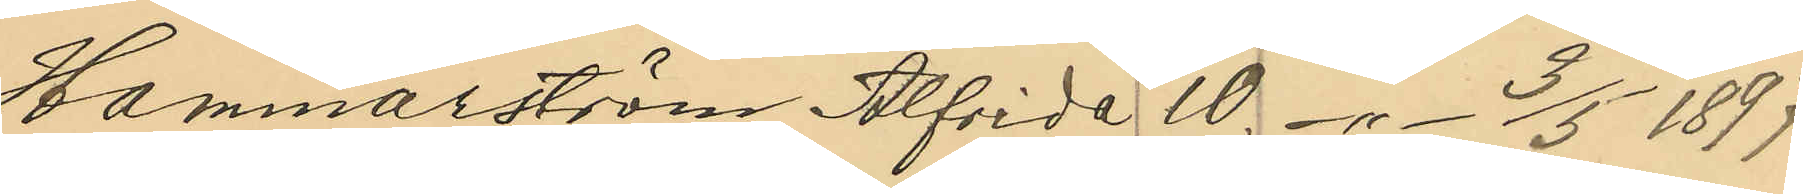Hammarström Alfrida 10. -"- 3/5 1897;
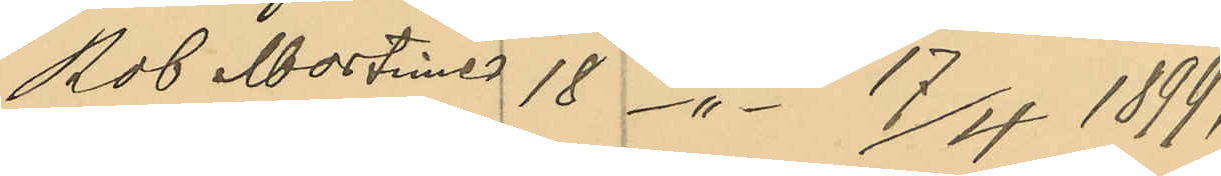Rob Mortimer 18 -"- 17/4 1899;
